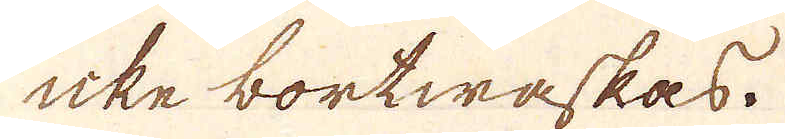icke bortwäskas.
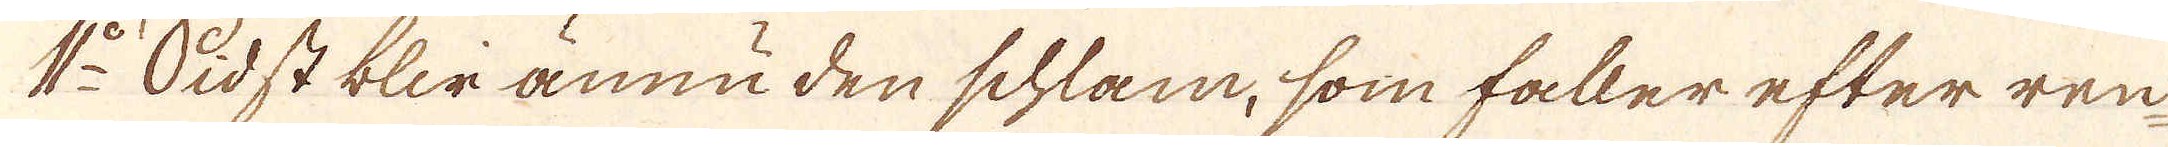1:o Sidst blir ännu den schlam, som faller efter ren
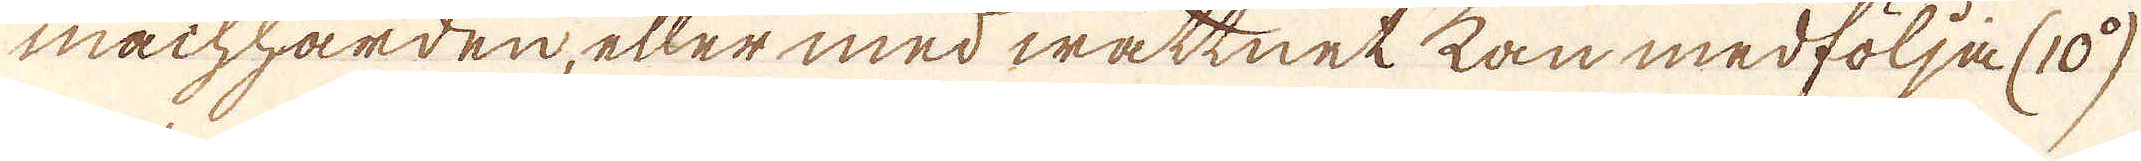machhärden, eller med wattnet kan medfölja (10:o)
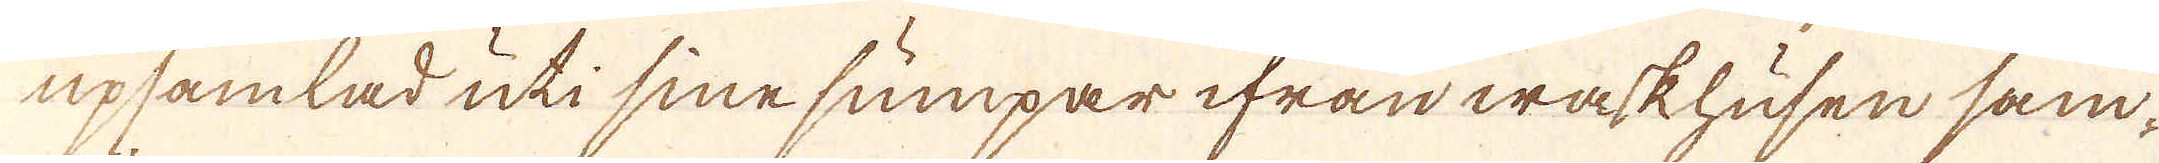upsamlad uti sinesumpar ifrån waskhusen sam-
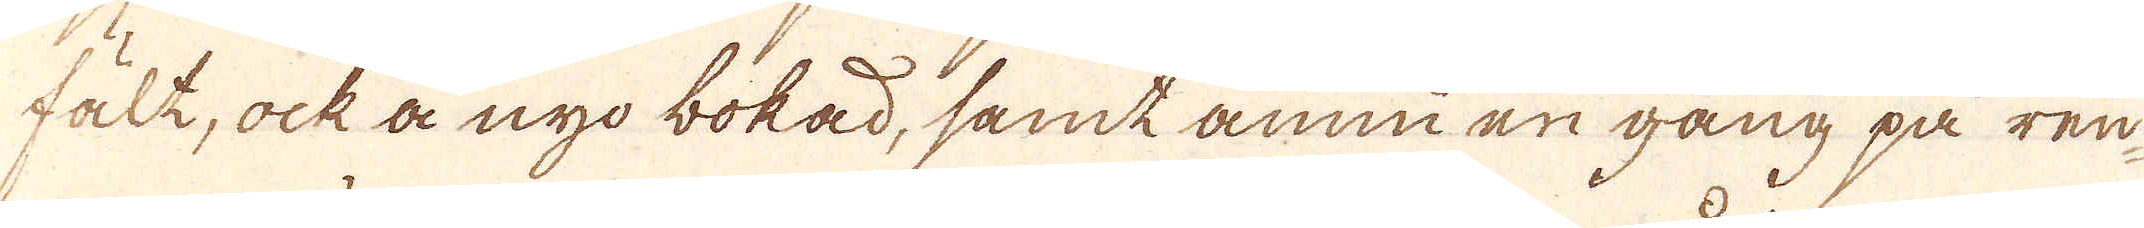fält, ock å nyo bokad, samt ännu en gång på ren
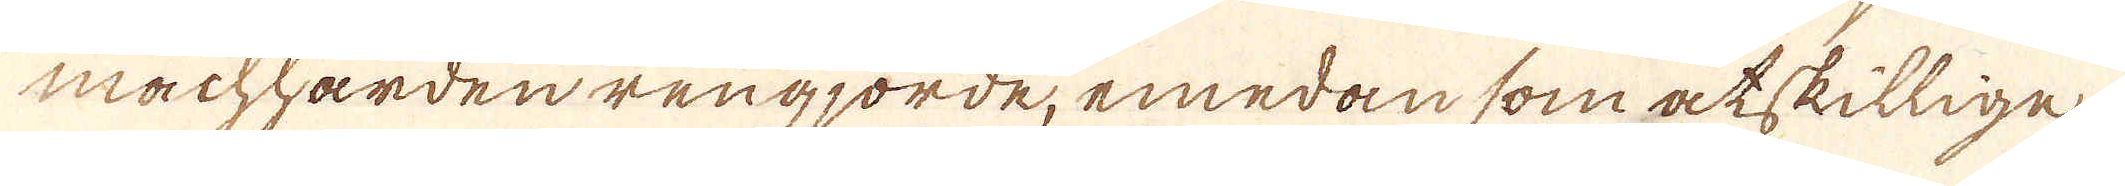machhärden rengjorde, emedan som åtskillige
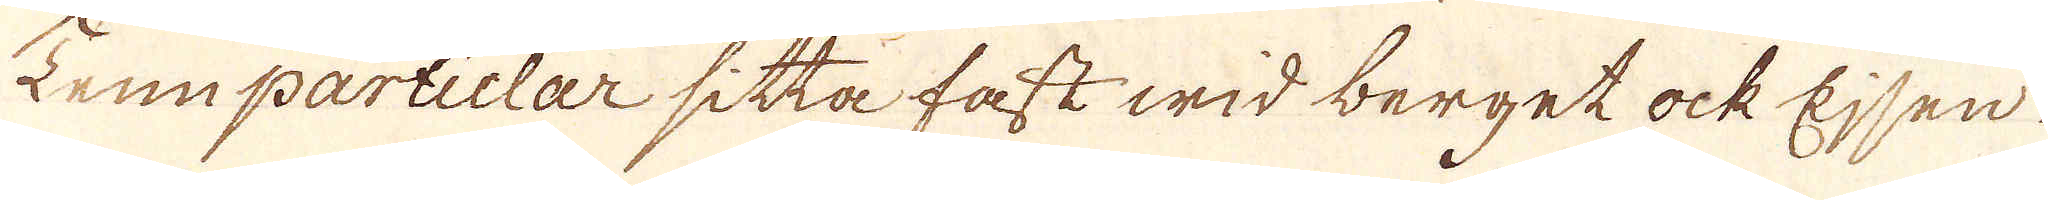Tennparticlar sitta fast wid berget ock Ejsen
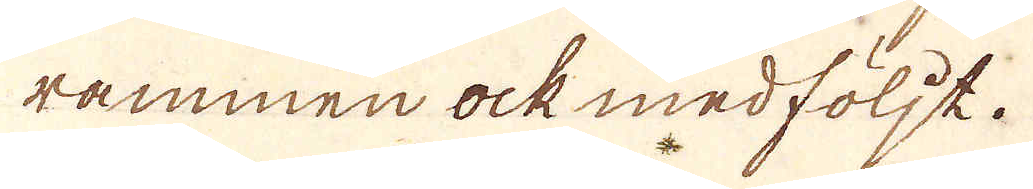rammen ock medföljt.
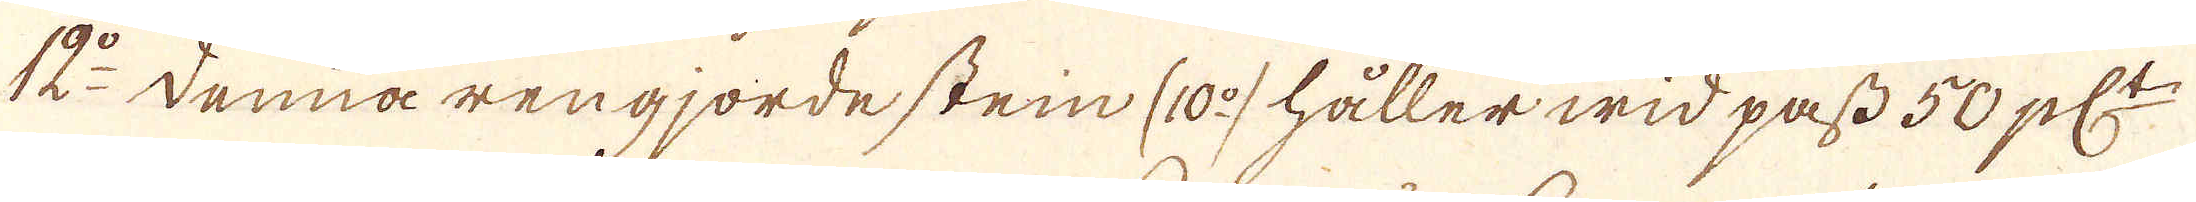12:o denna rengjorde stein (10:o) håller wid pass 50 pl:t
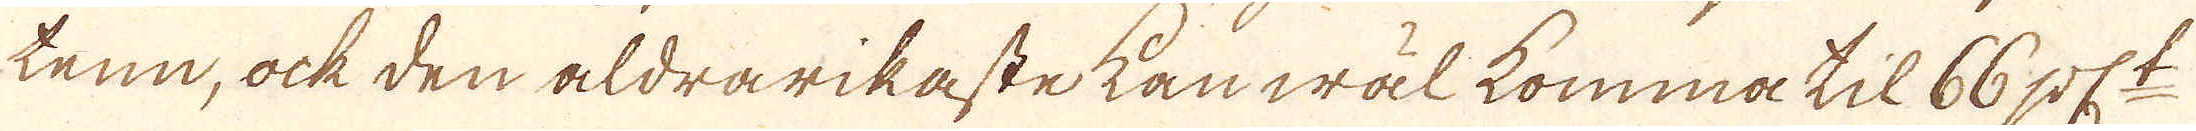tenn, ock den aldra rikaste kan wäl komma til 66 pl:t
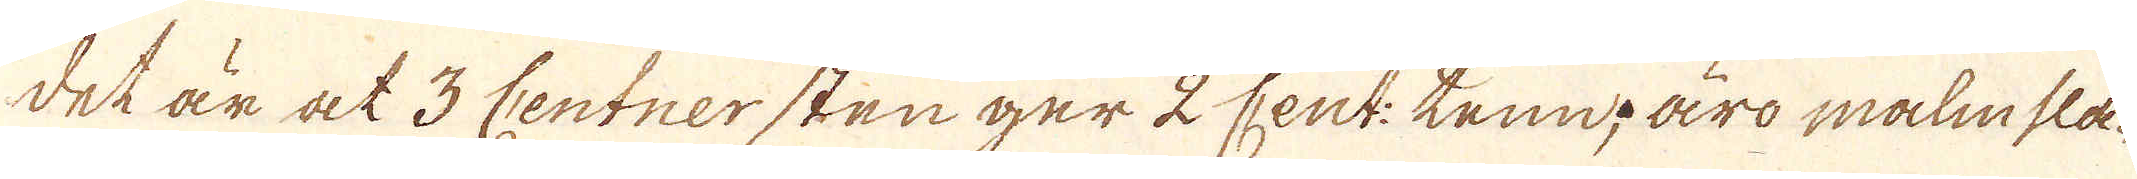det är at 3 Centner stenger 2 Cent: tenn; äro malmsla-
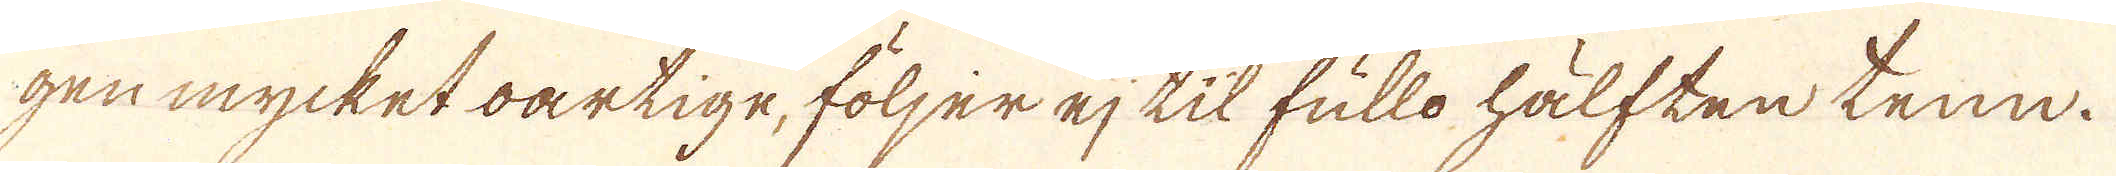gen mycket oartige, följer ej til fullo hälften tenn.
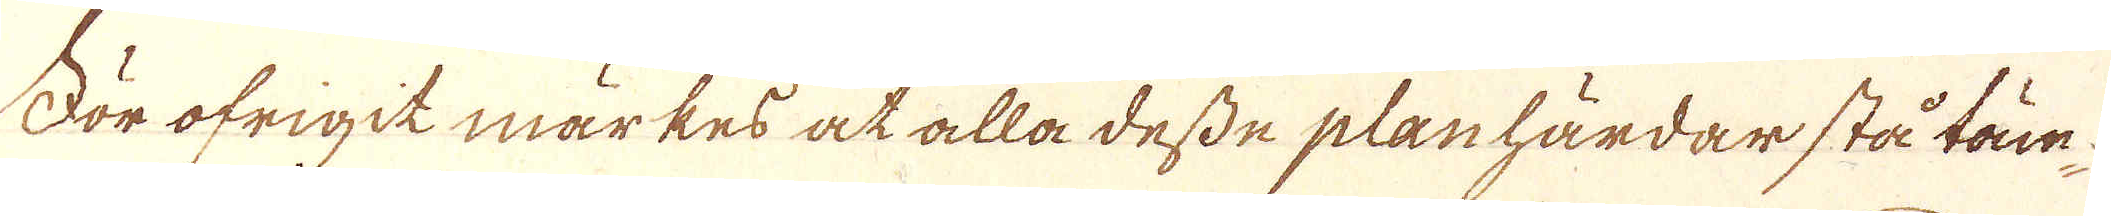För öfrigit märkes at alla desse planhärdar stå täm-
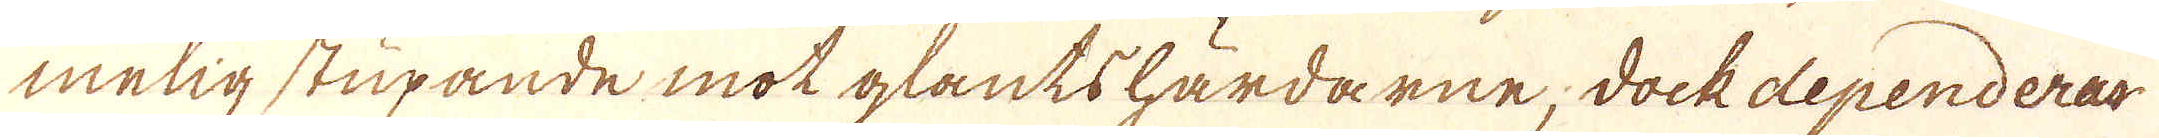melig stupande mot glantshärdarne, dock dependerar
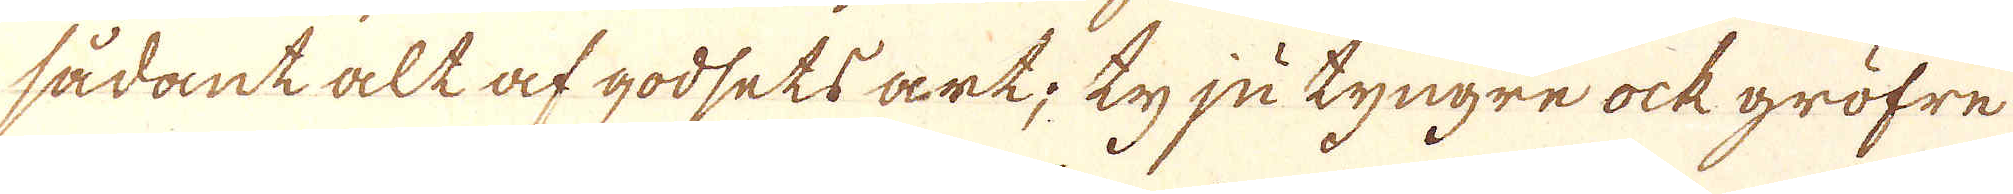sådant alt af godsets art; ty ju tyngre ock gröfre
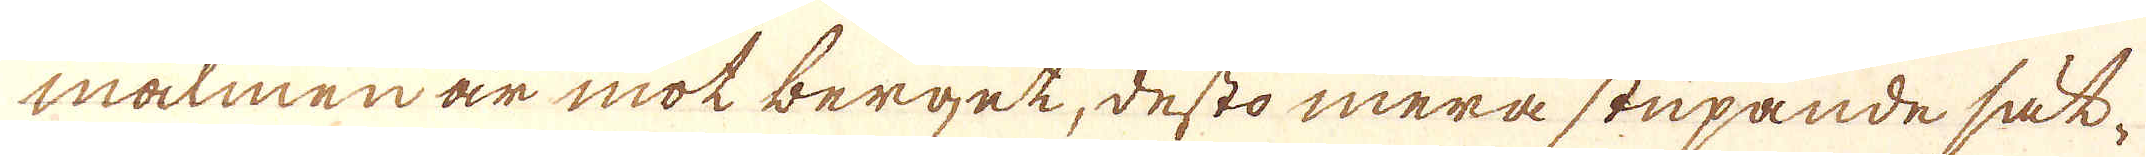malmen är mot berget, desto mera stupande säk-
